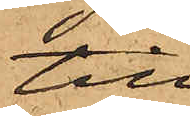till
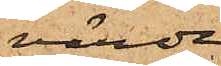värde
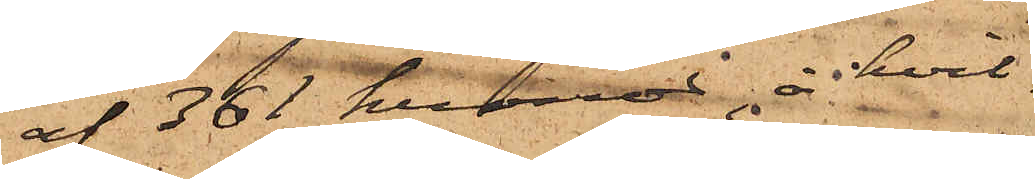af 361 kronor, å hvil¬
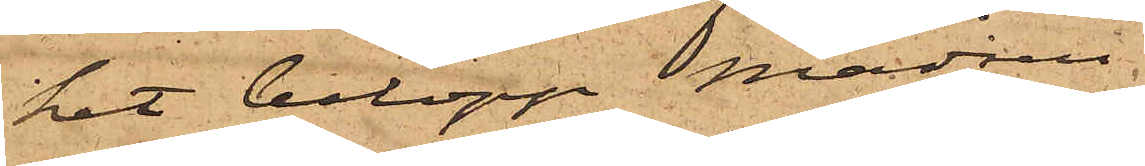het belopp Madsen
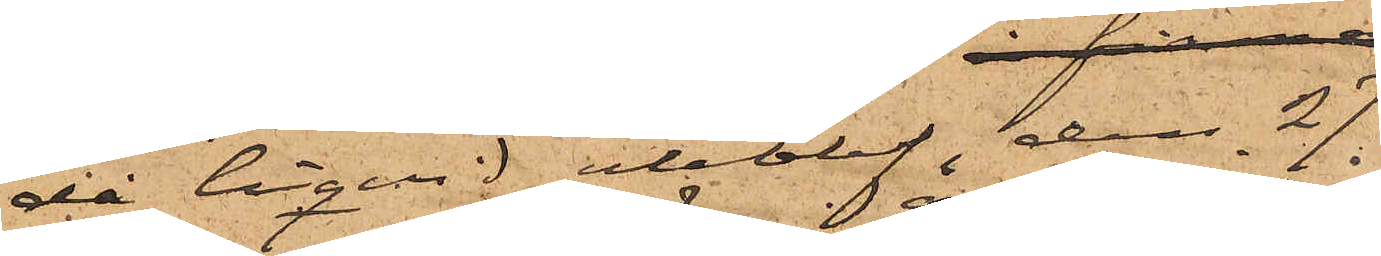då liqvid uteblef, den 27
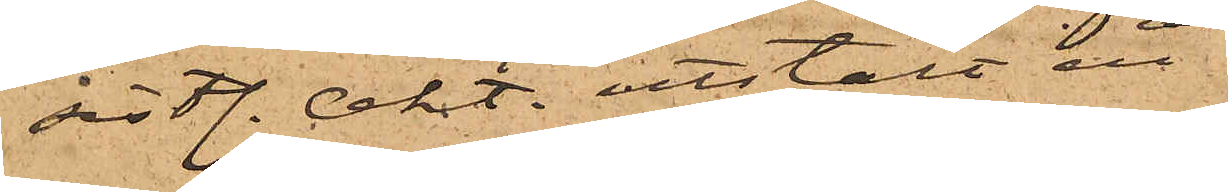sistl. Okt. utstält en
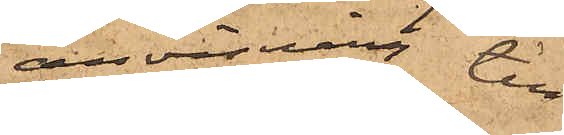anvisning till
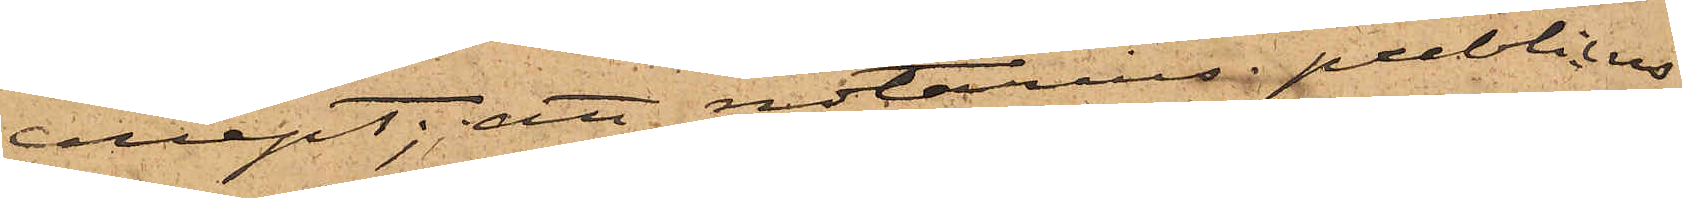concept; att notarius publicus
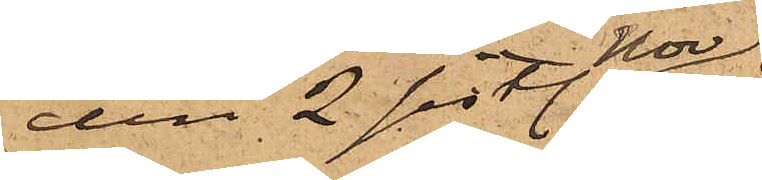den 2 sist. Nov
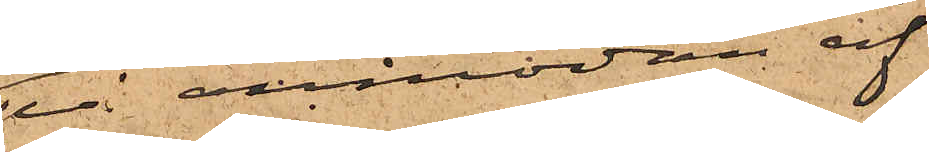på anmodan af
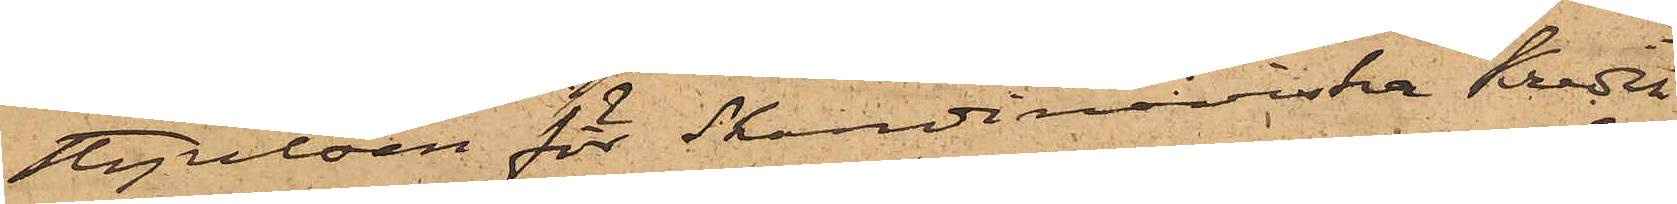Styrelsen för Skandinaviska Kredit¬
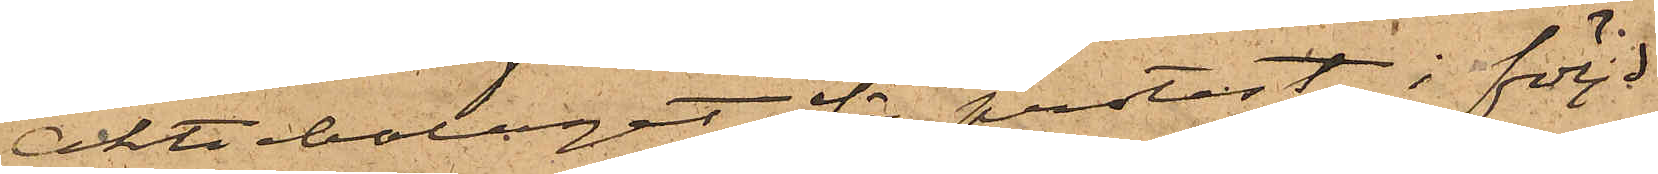Aktiebolaget för protest i följd
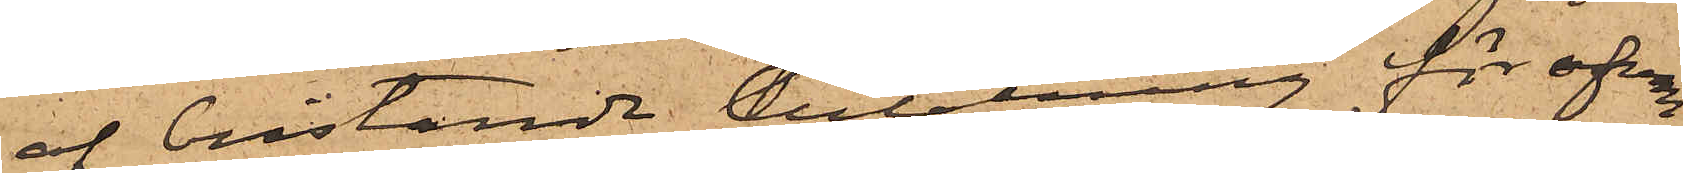af bristande betalning för ofvan¬
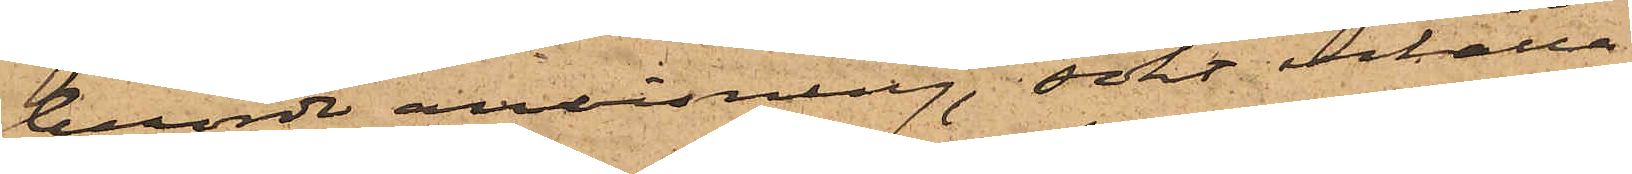berörde anvisning, sökt erhålla
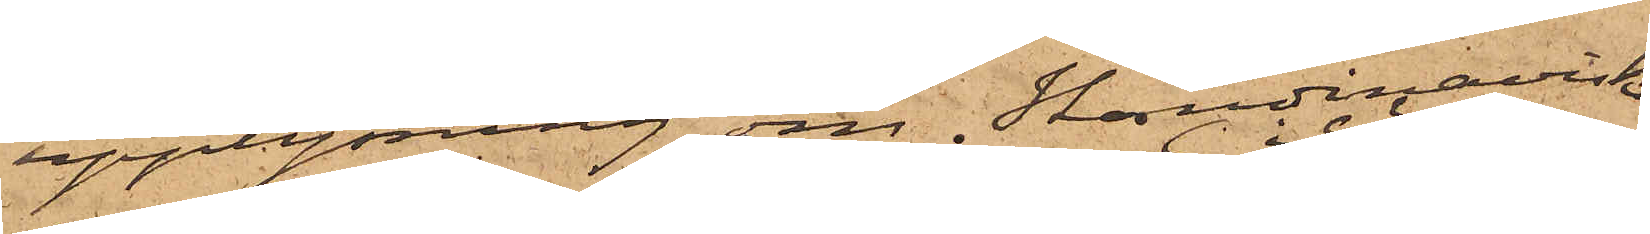upplysning om Skandinaviska
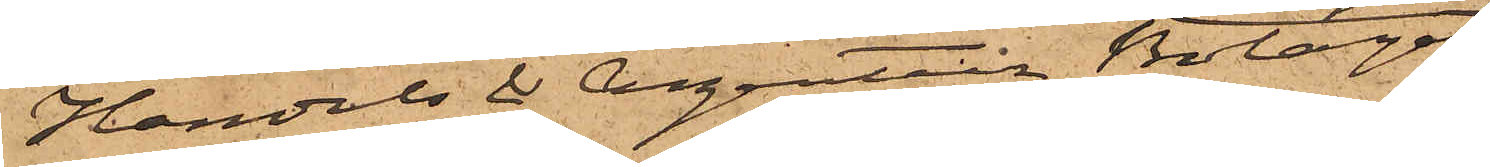Handels & Agentur Bolaget
